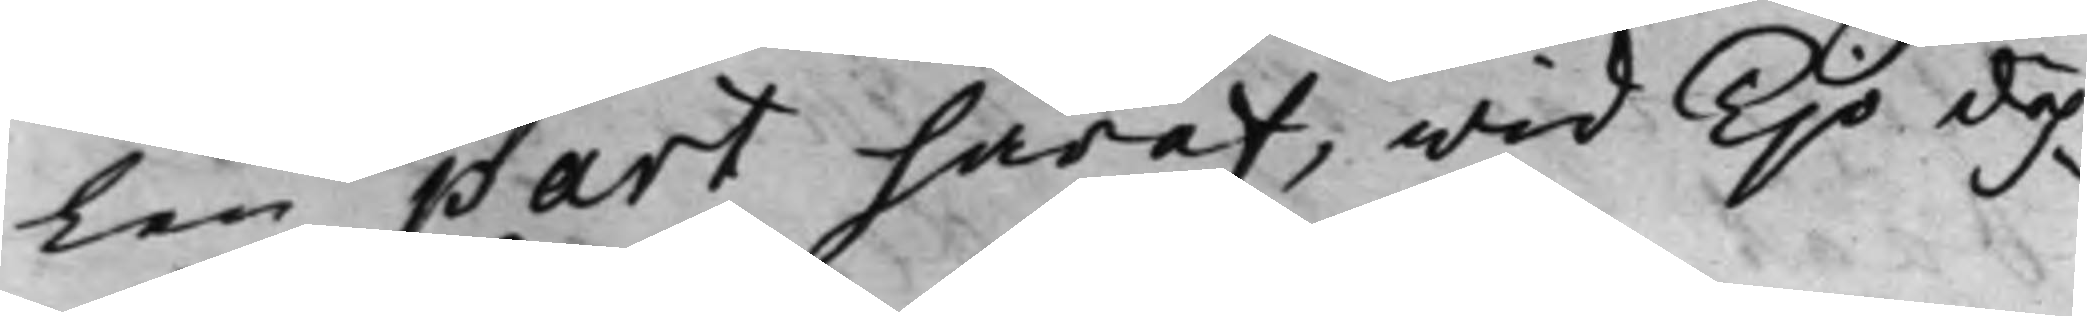len part häraf, wid Tijo dah¬
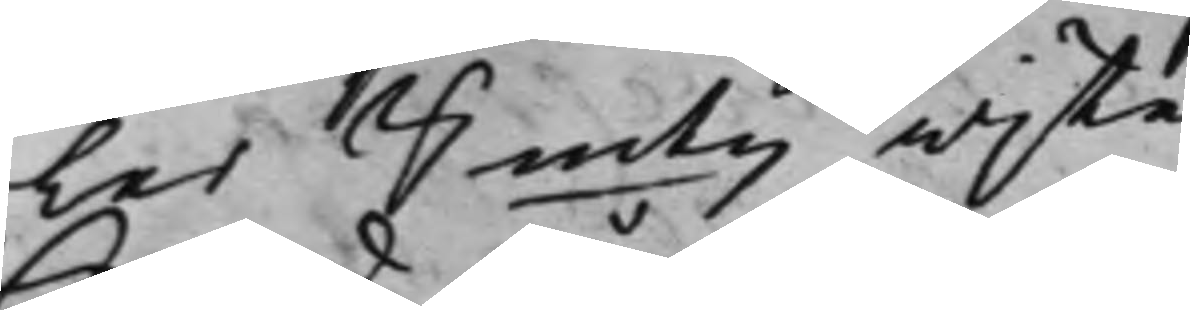ler Smtz wijte.
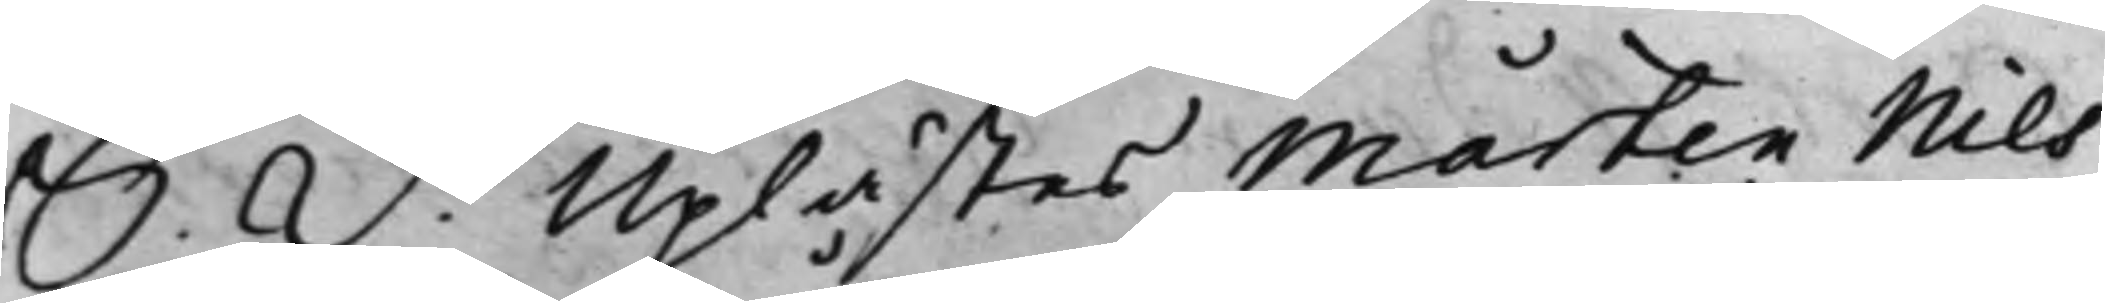S. D. Uplästes Mårten Nils¬
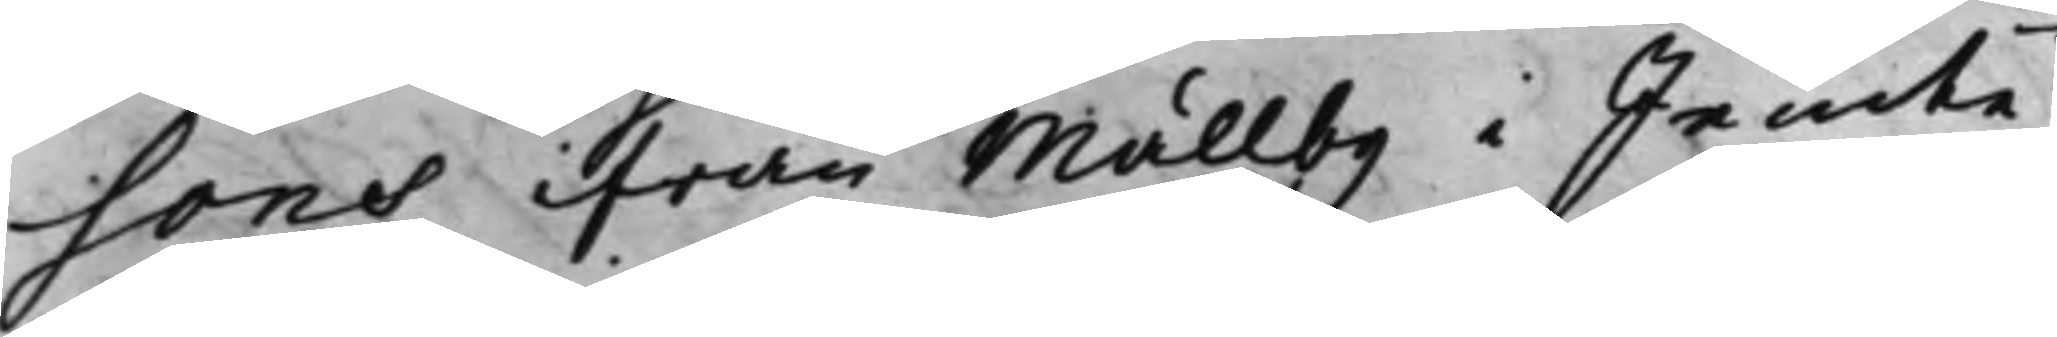sons ifrån Mällby i Jemte¬
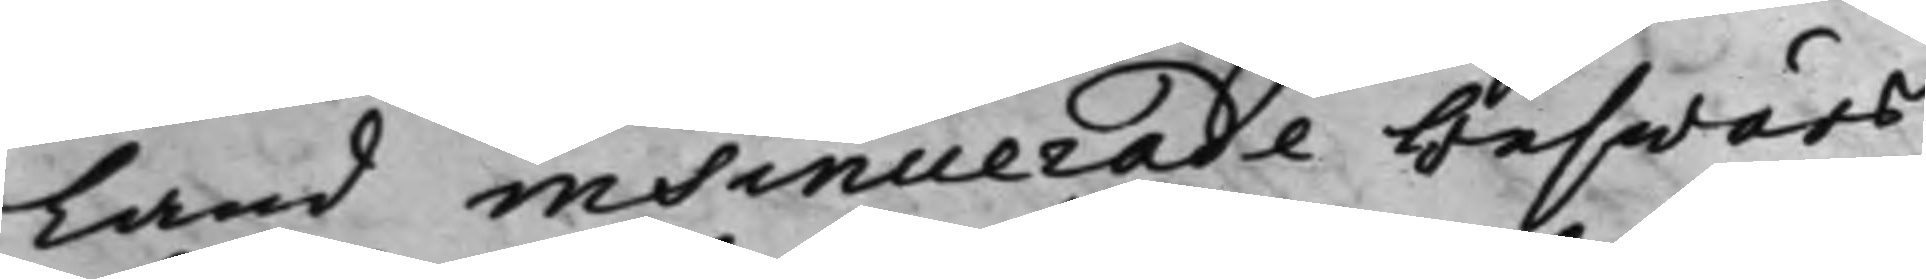Land insinuerade beswärs¬
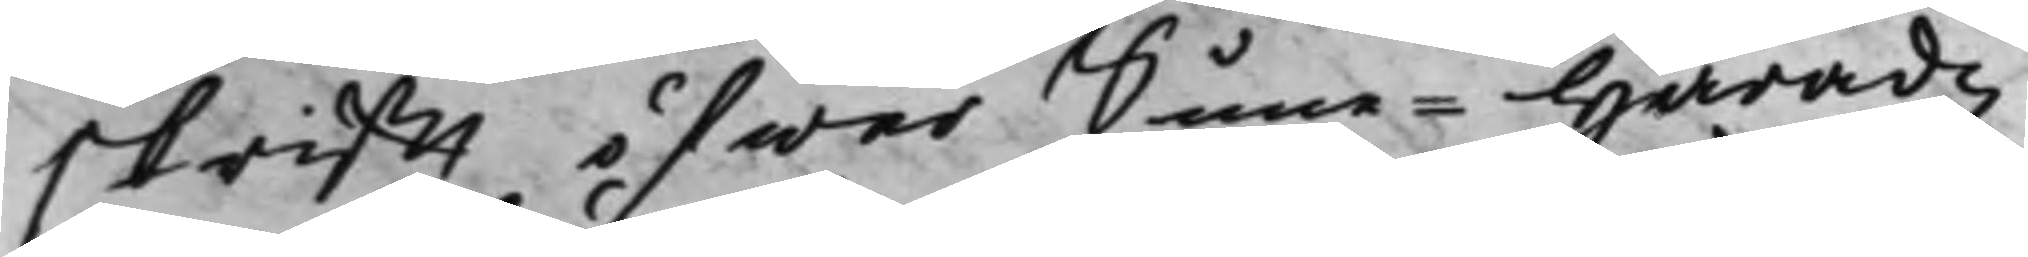skrifft öfwer Sune Häradz
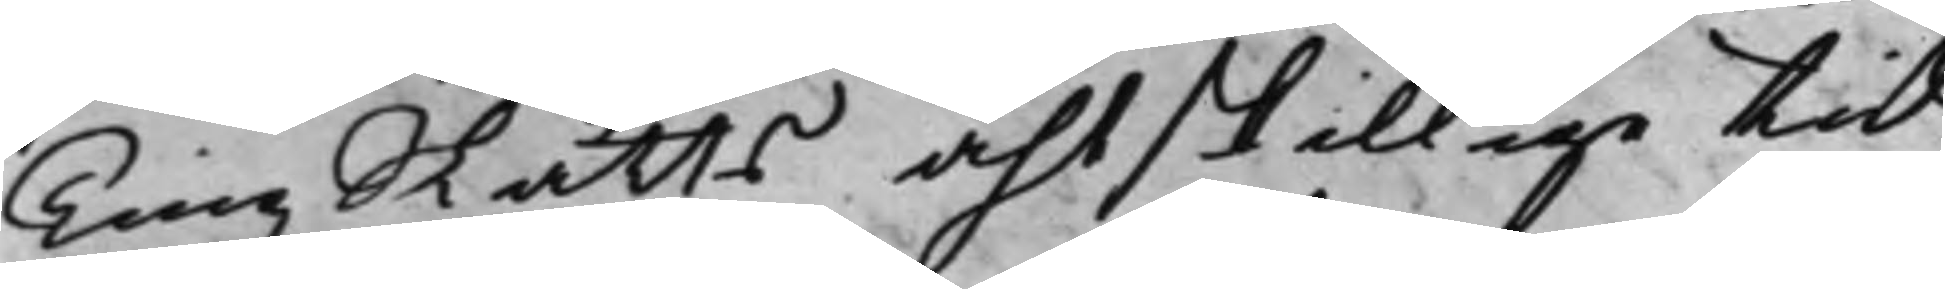Tingz Rätts åhtskillige tid
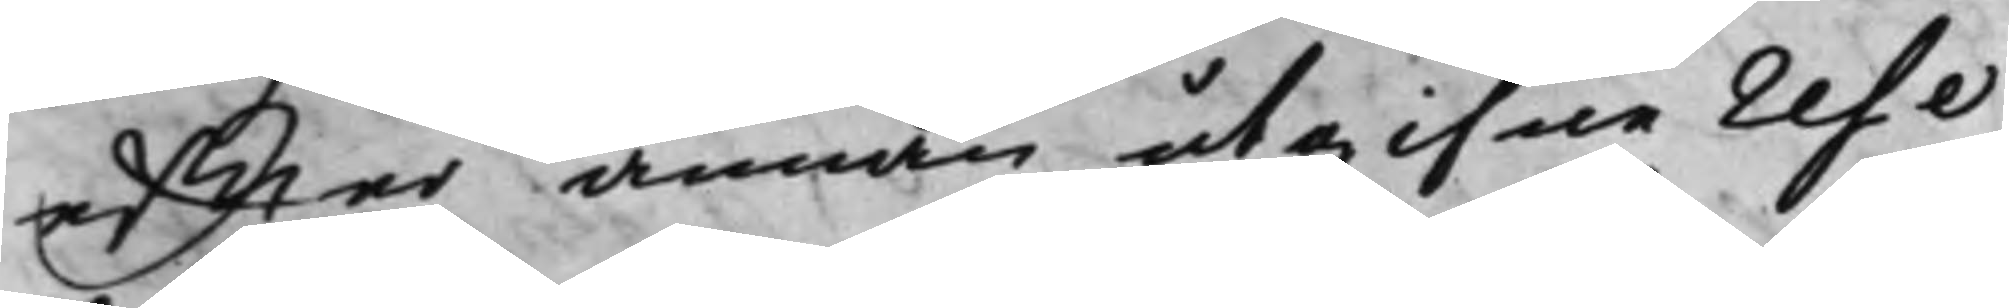effter annan utgifne reso¬
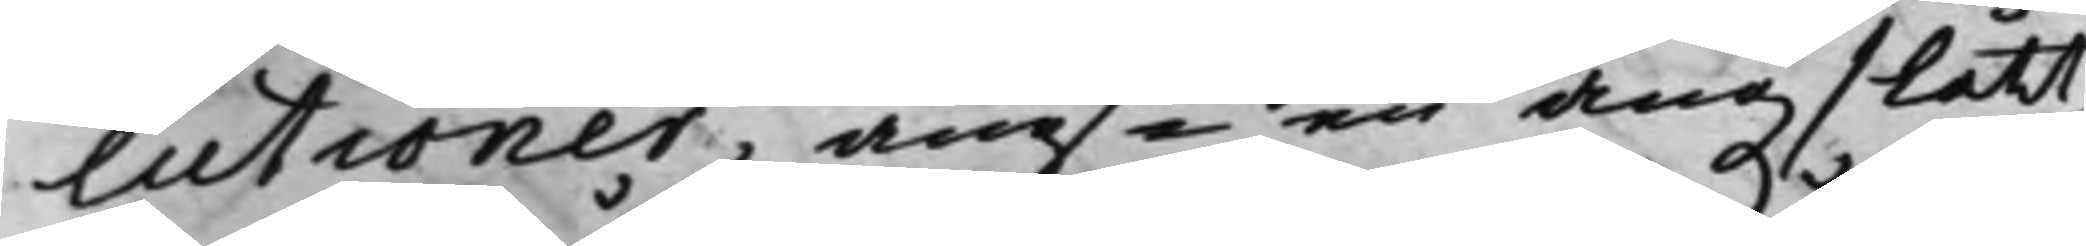lutioner, angde en ängslått,
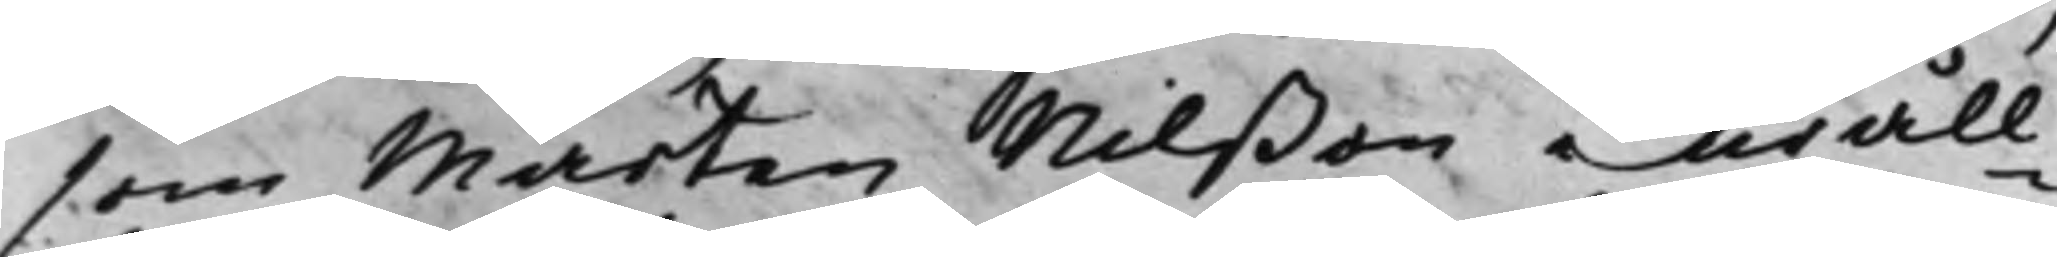som Mårten Nilßon uråll¬
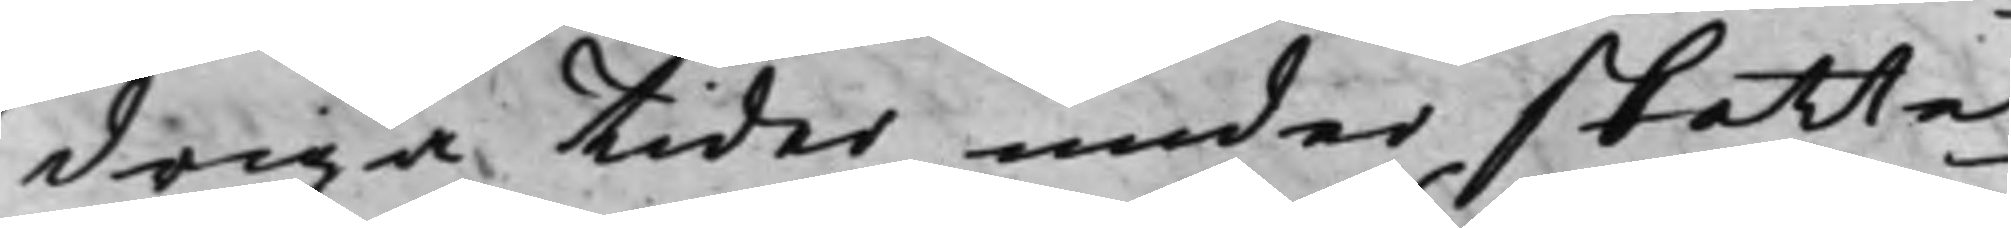driga tider under skatte¬
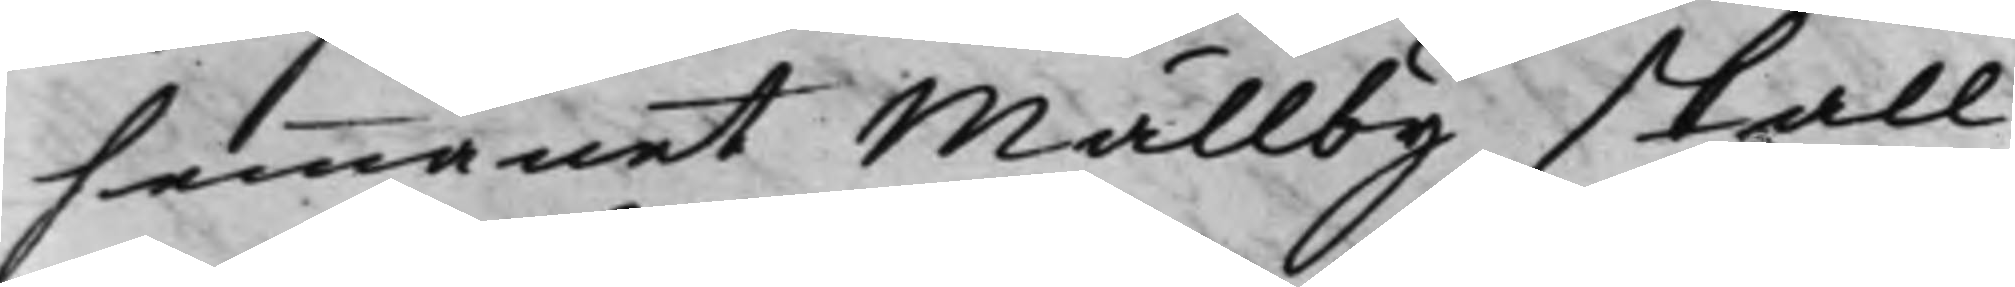hemmanet Mällby skall
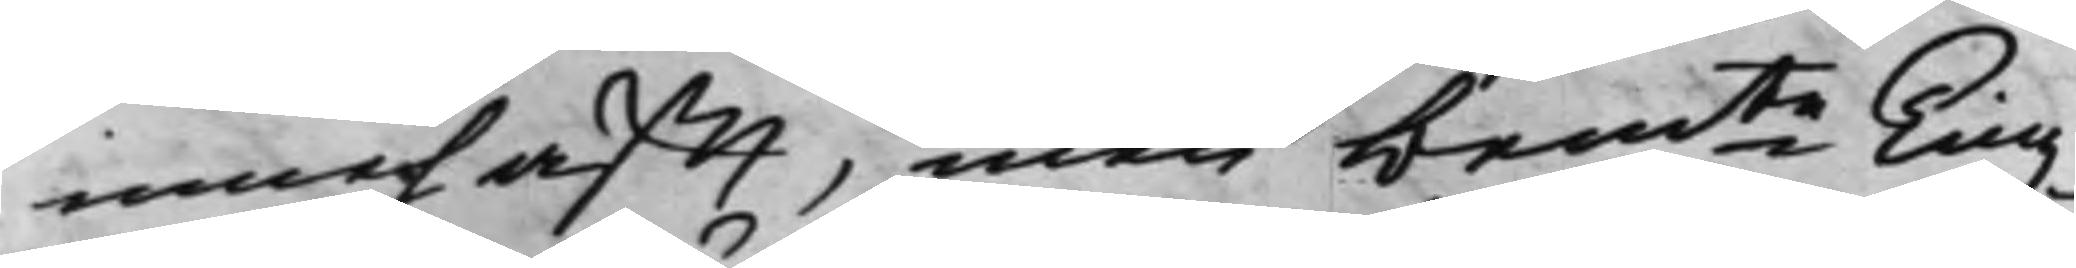innehafft, men bemte Tingz¬
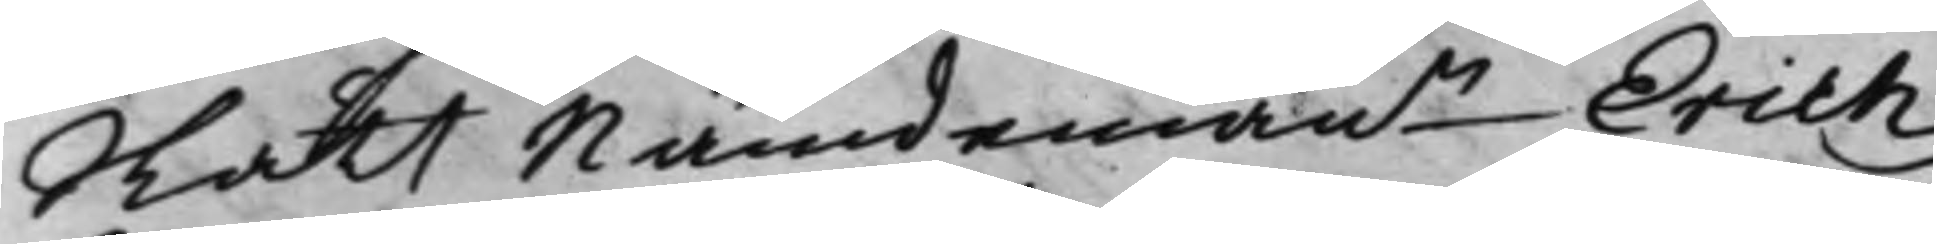Rätt Nandemann Erich
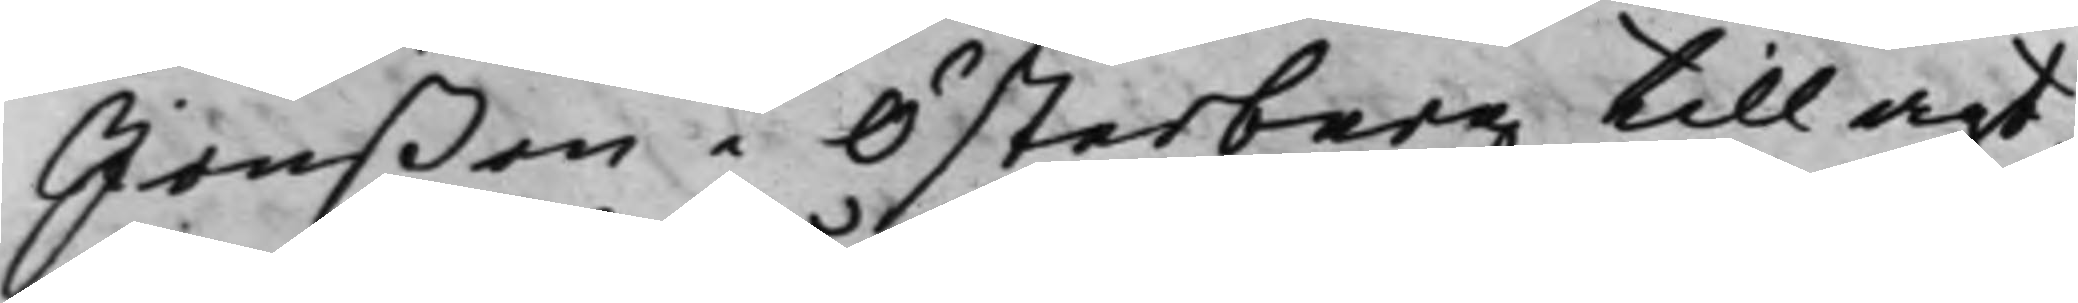Jonßon i Österberg tillagt,
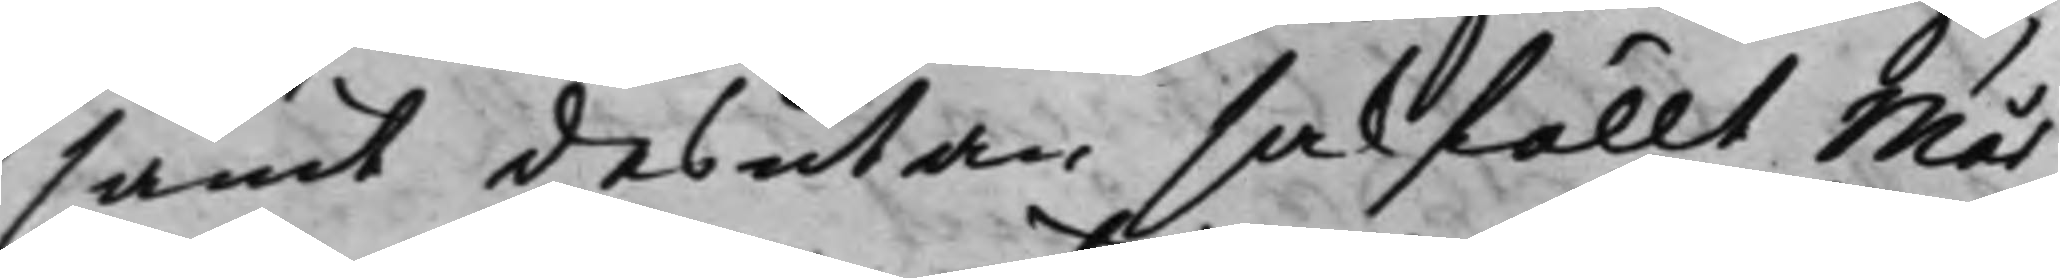samt desutan sakfällt Mår¬
